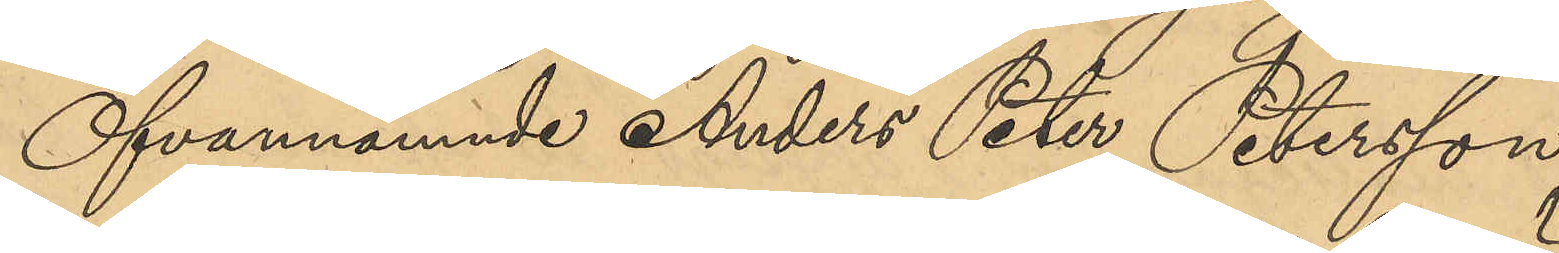Ofvannämnde Anders Peter Petersson
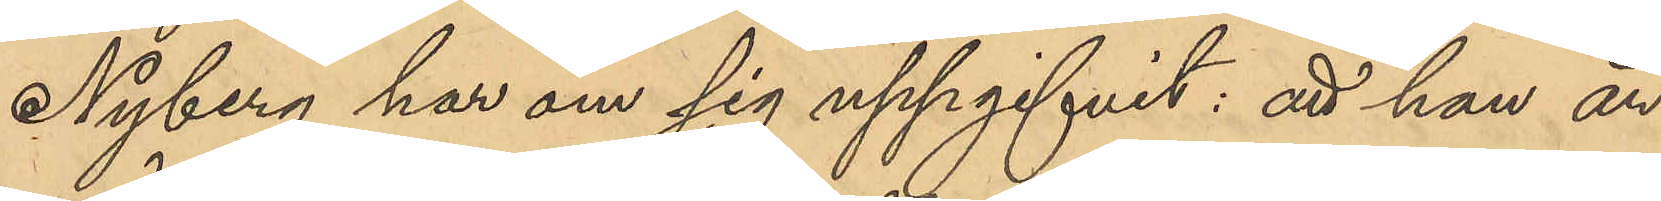Nyberg har om sig uppgifvit: att han är
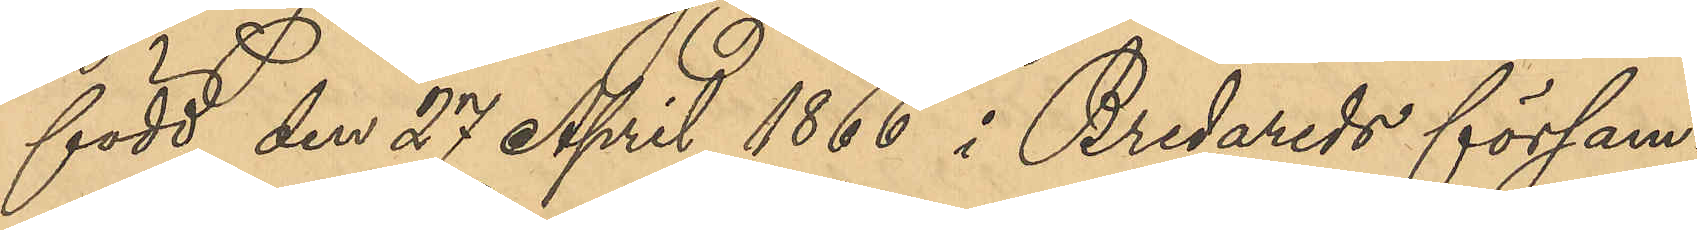född den 27 April 1866 i Bredareds försam¬
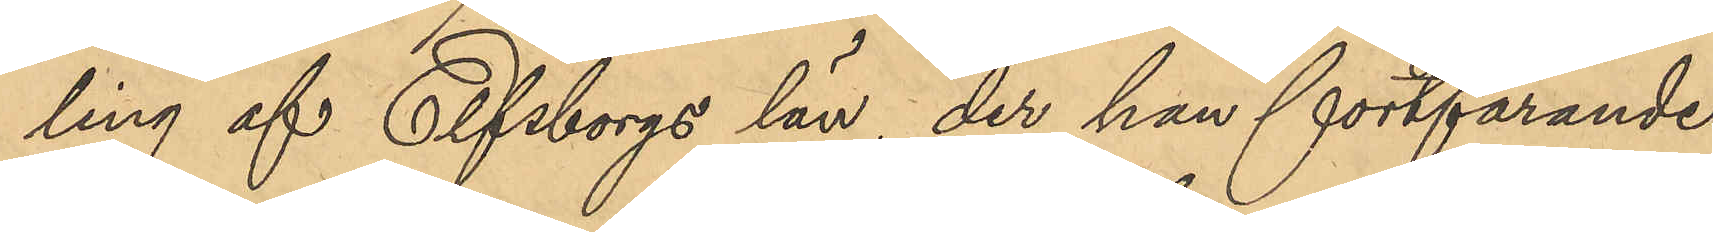ling af Elfsborgs län, der han fortfarande
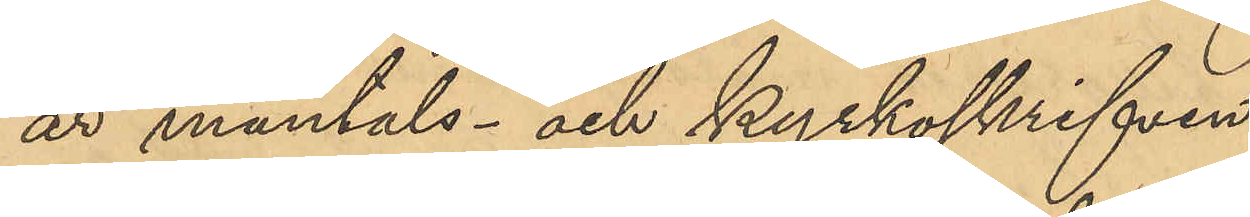är mantals- och kyrkoskrifven,
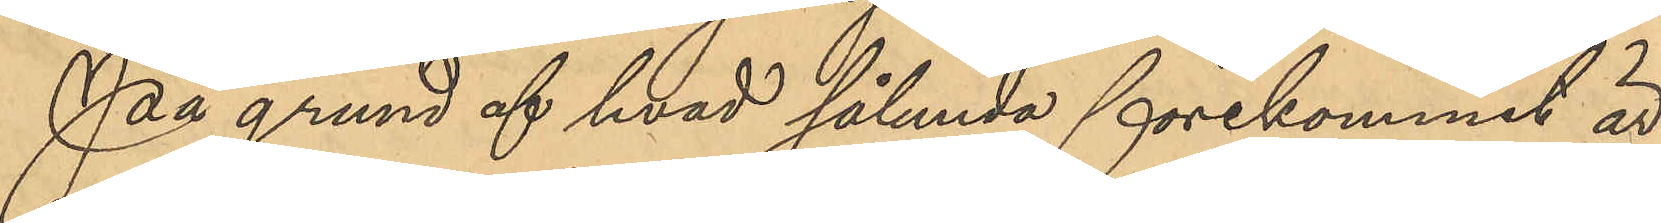På grund af hvad sålunda förekommit är
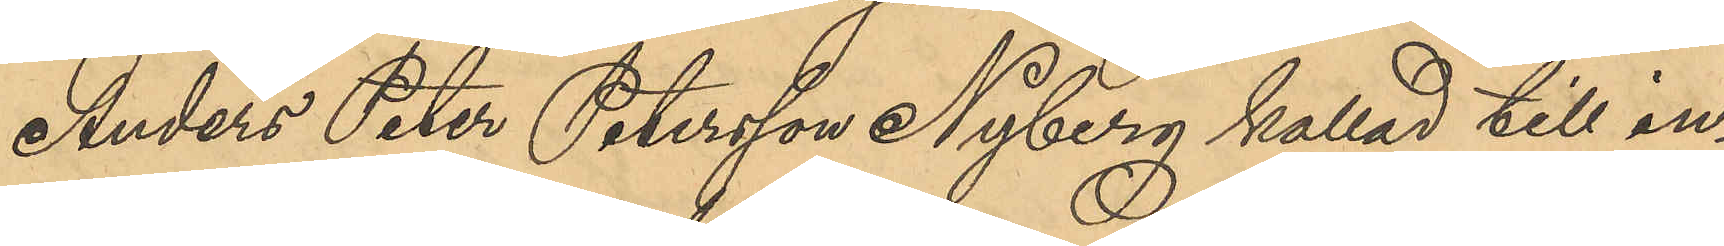Anders Peter Petersson Nyberg kallad till in¬
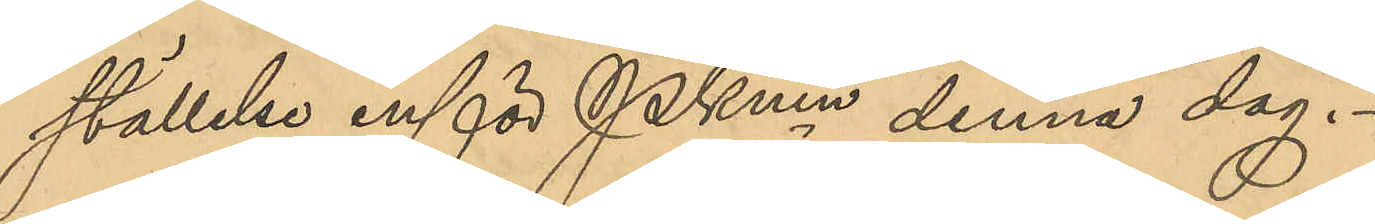ställelse inför PKmn denna dag.
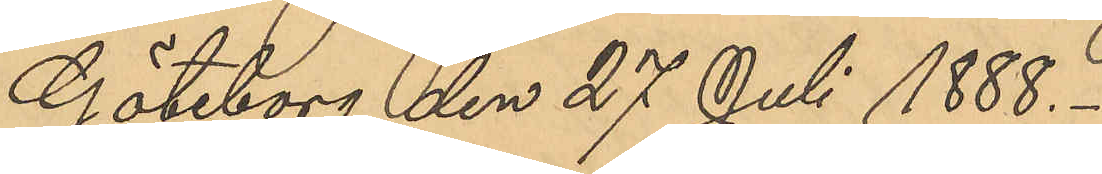Göteborg den 27 Juli 1888.
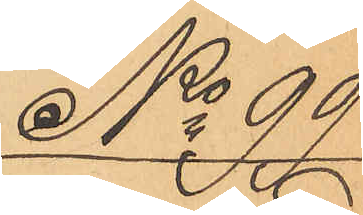No 99
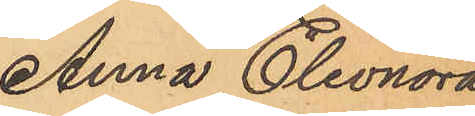Anna Eleonora
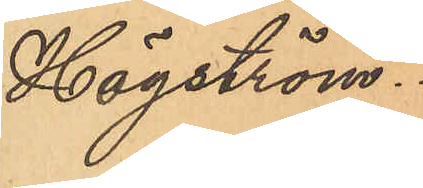Högström.
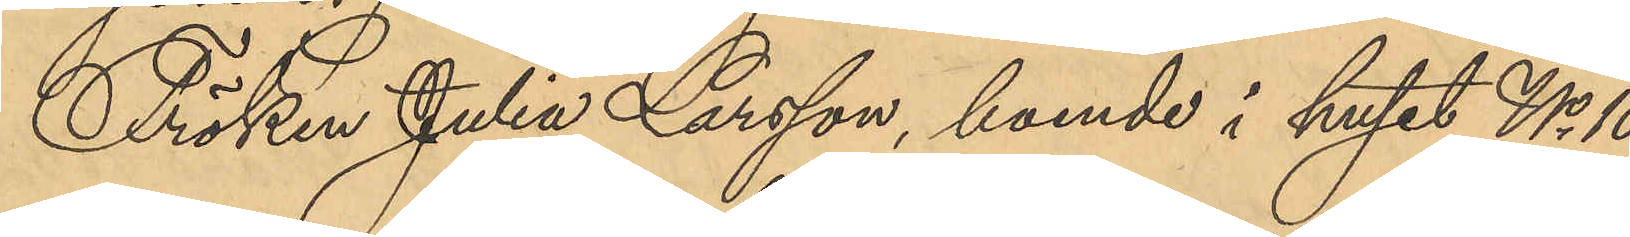Fröken Julia Larsson, boende i huset No 10
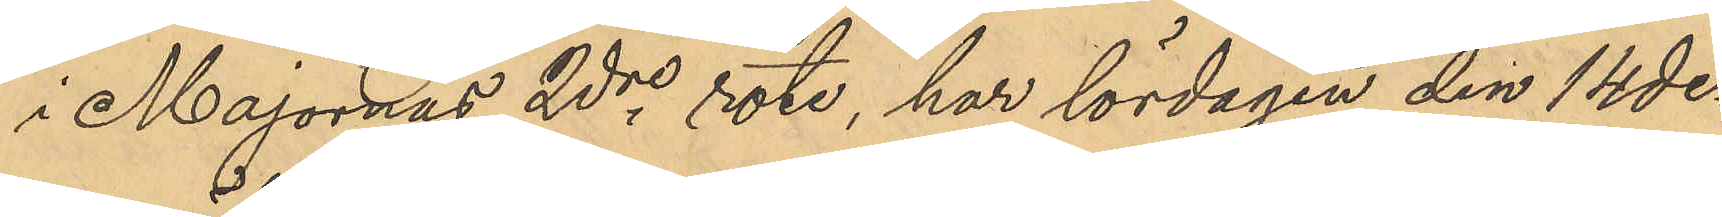i Majornas 2dre rote, har lördagen den 14 des
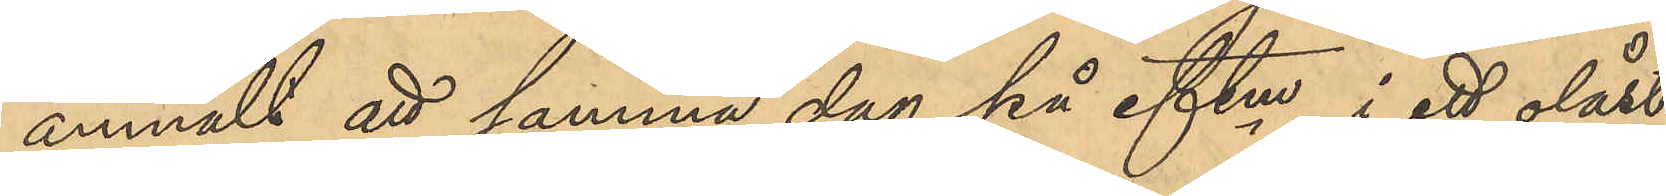anmält att samma dag på eftm i ett olåst
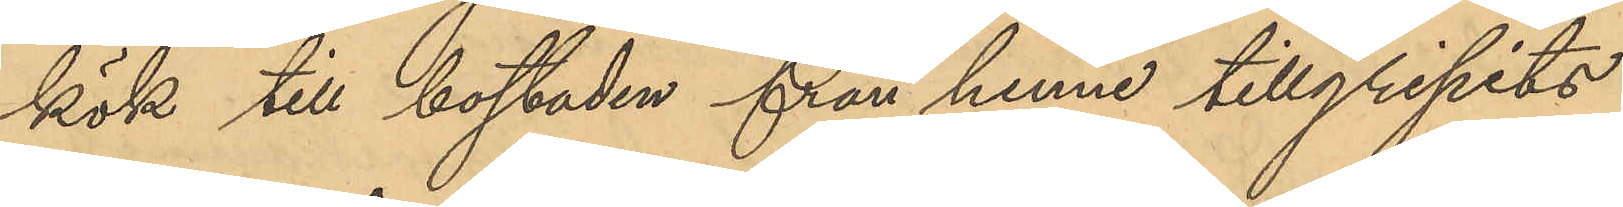kök till bostaden från henne tillgripits
